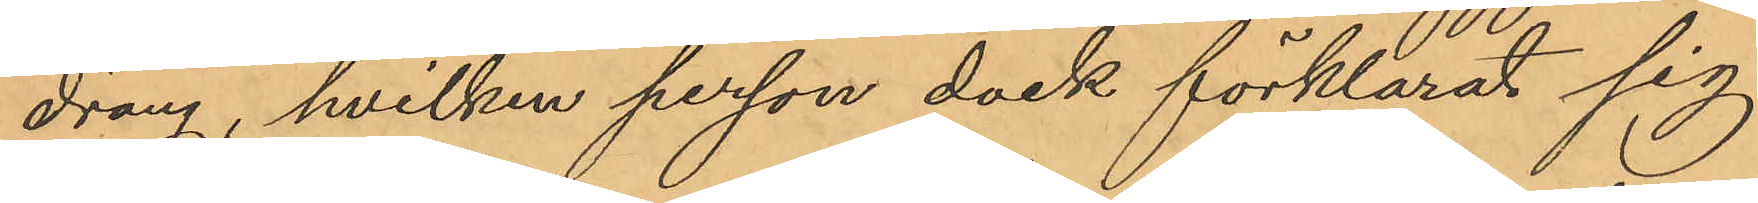dräng, hvilken person dock förklarat sig
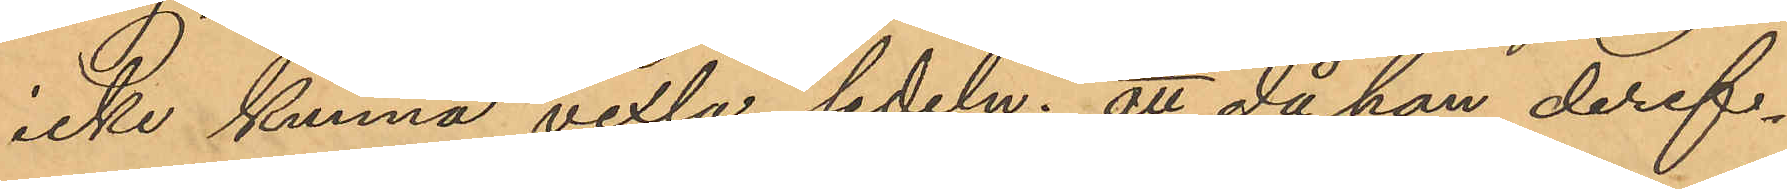icke kunna vexla sedeln; att då hon deref¬
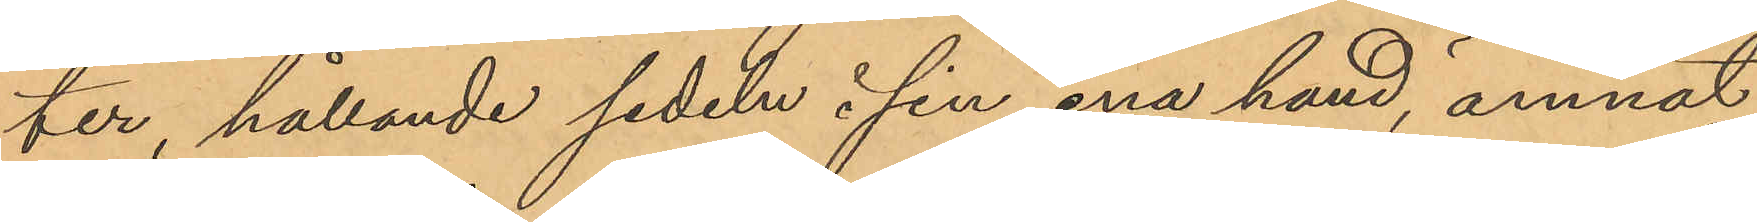ter hållande sedeln i sin ena hand, ämnat
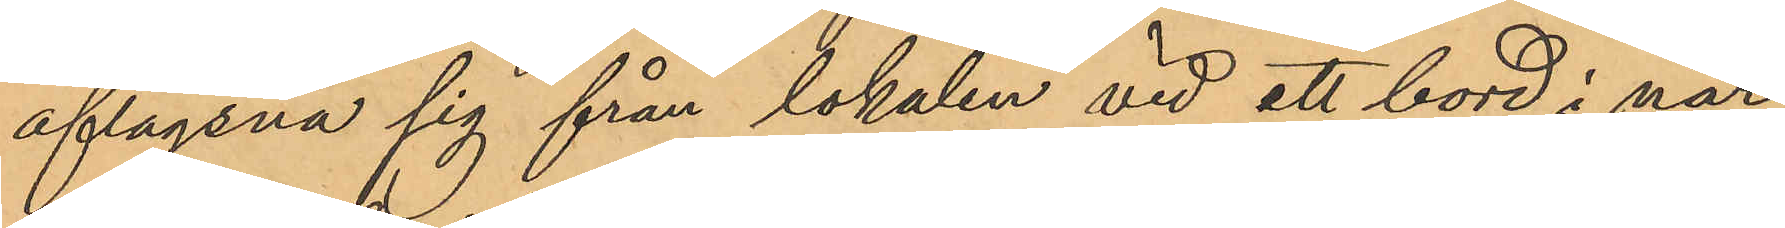aflägsna sig från lokalen vid ett bord i när¬
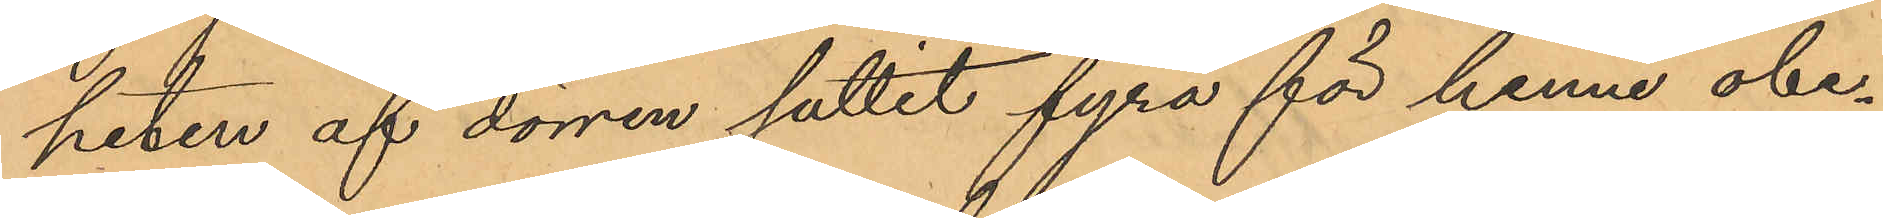heten af dörren suttit fyra för henne obe¬
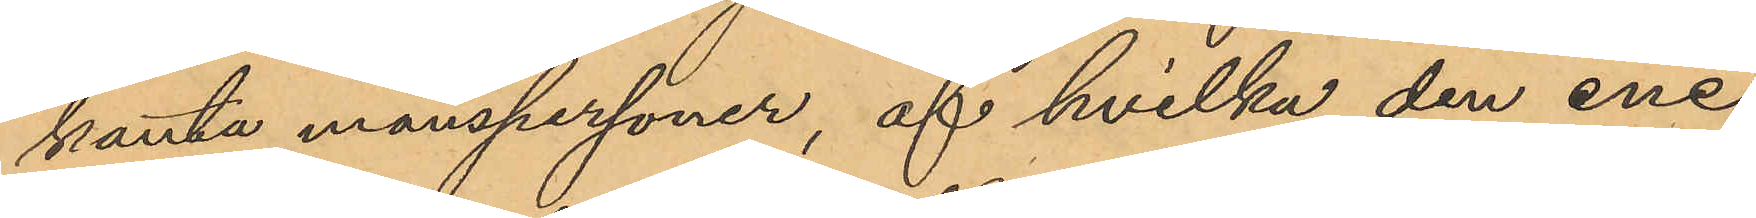kanta manspersoner, af hvilka den ene
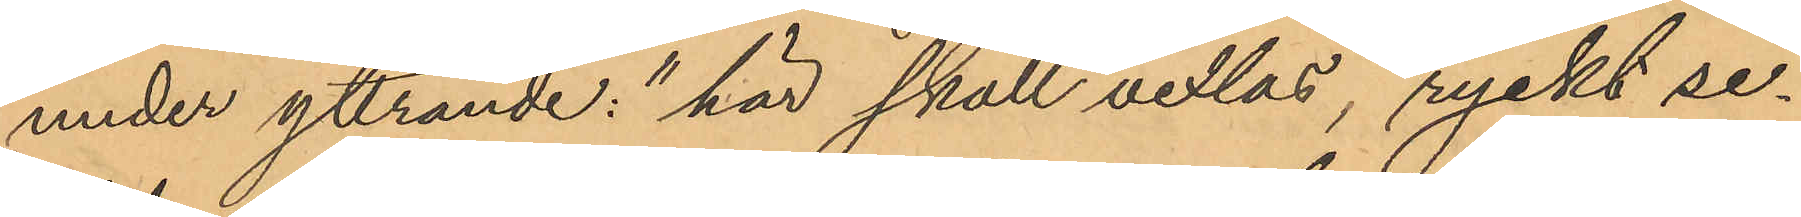under yttrande: "här skall vexlas", ryckt se¬
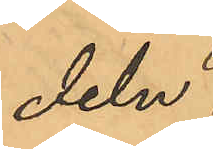deln
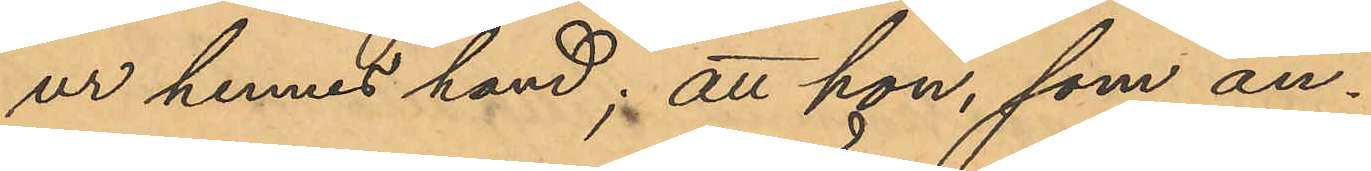ur hennes hand; att hon, som an¬
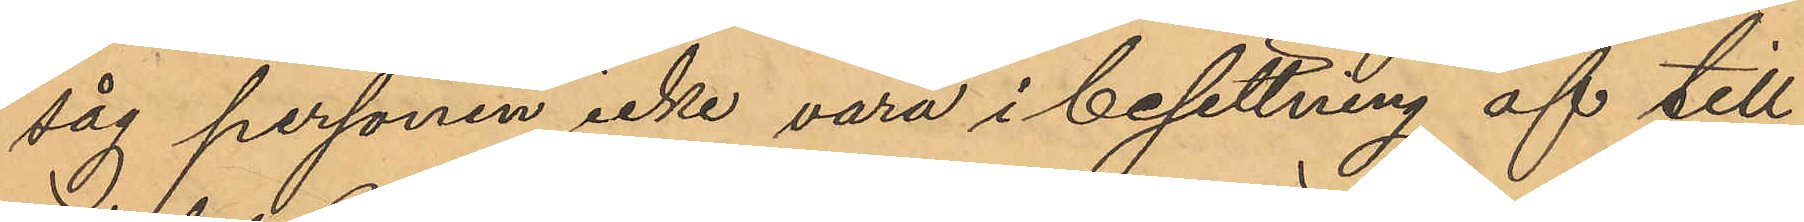såg personen icke vara i besittning af till¬
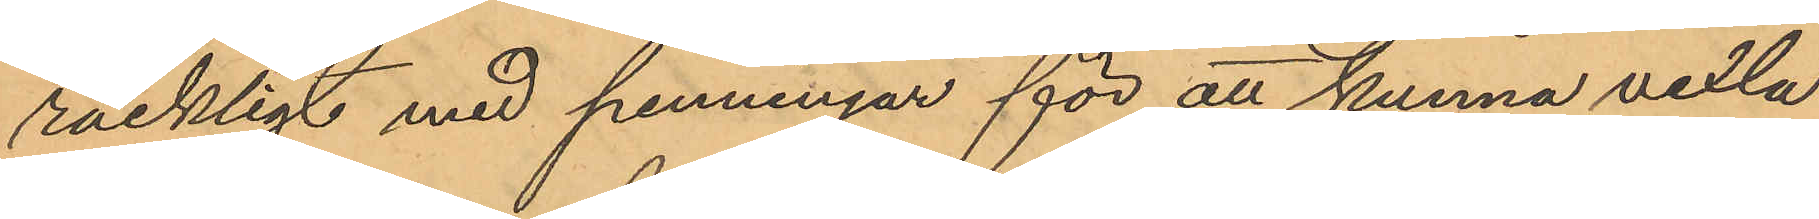räckligt med penningar för att kunna vexla
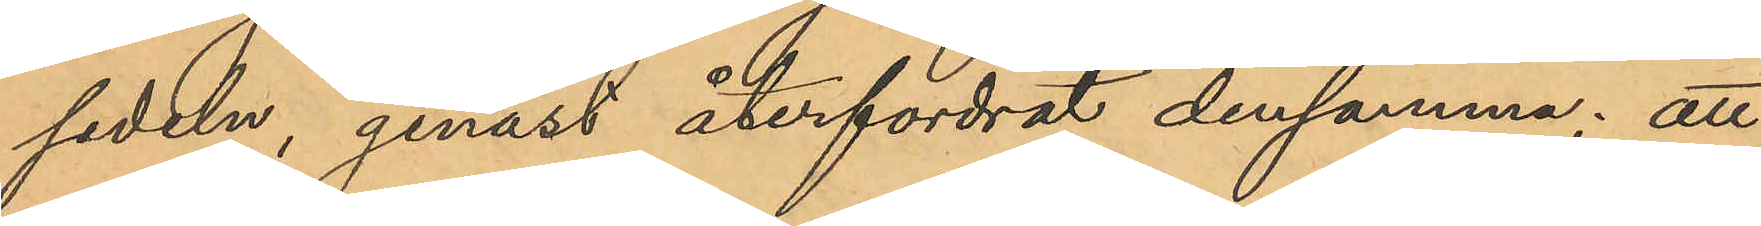sedeln, genast återfordrat densamma; att
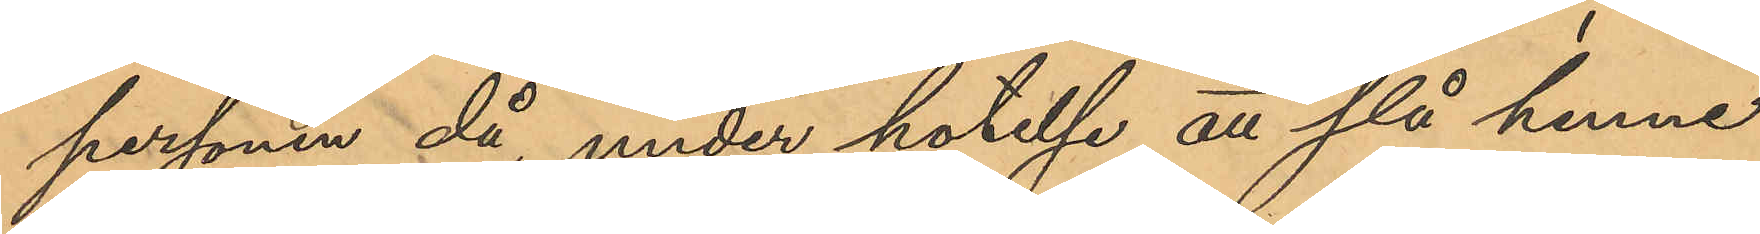personen då, under hotelse att slå henne
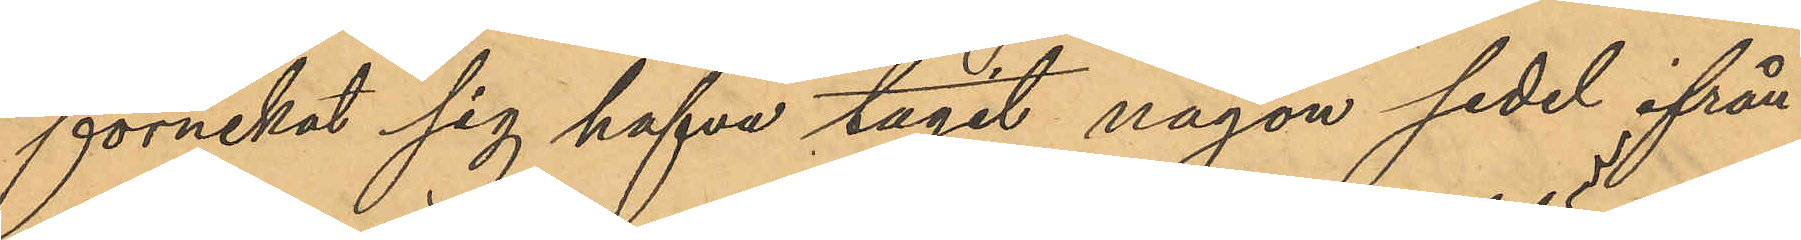förnekat sig hafva tagit någon sedel ifrån
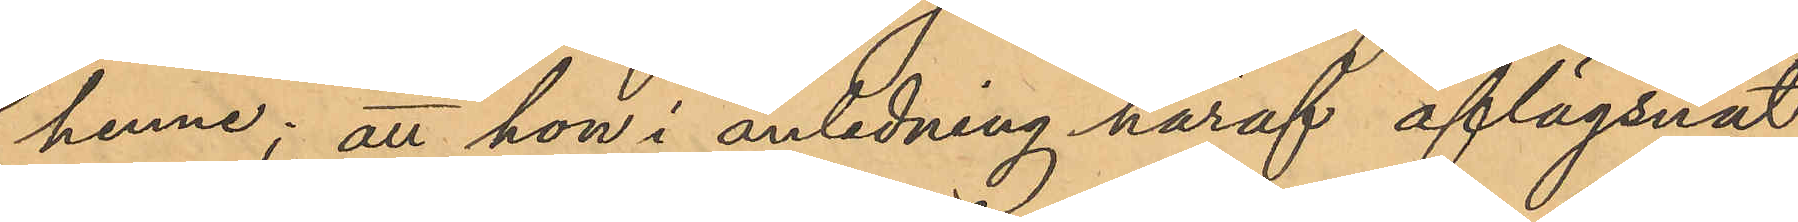henne; att hon i anledning häraf aflägsnat
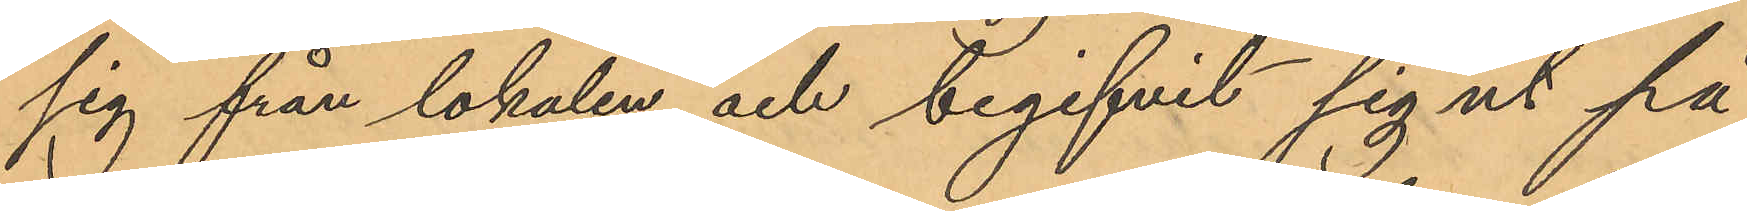sig från lokalen och begifvit sig ut på
